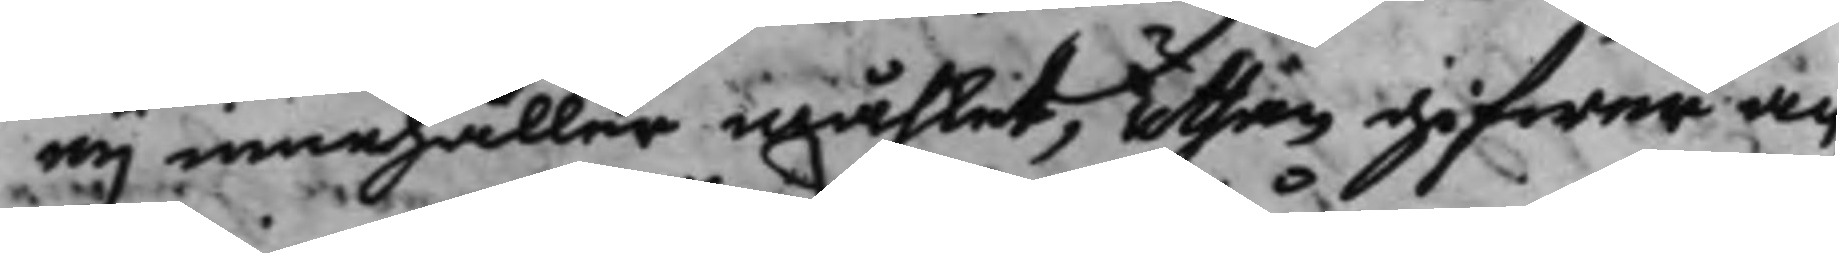eij innehåller måhlet, uthan gifwer an¬
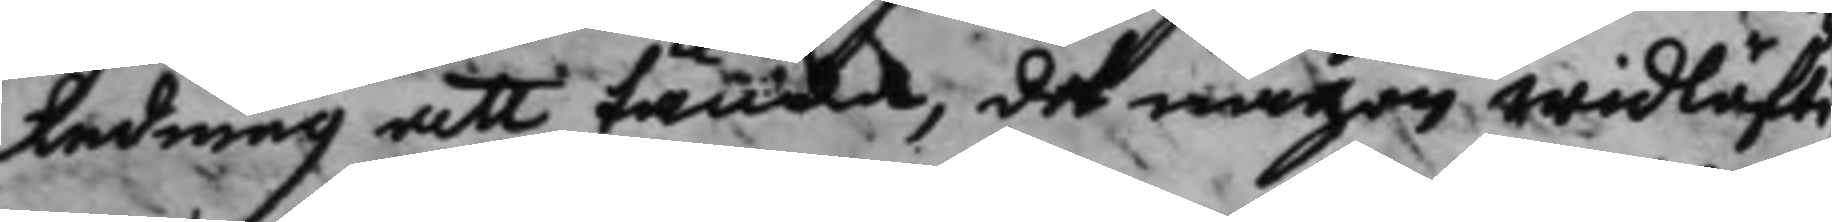ledning att tänka, det någon widläfti¬
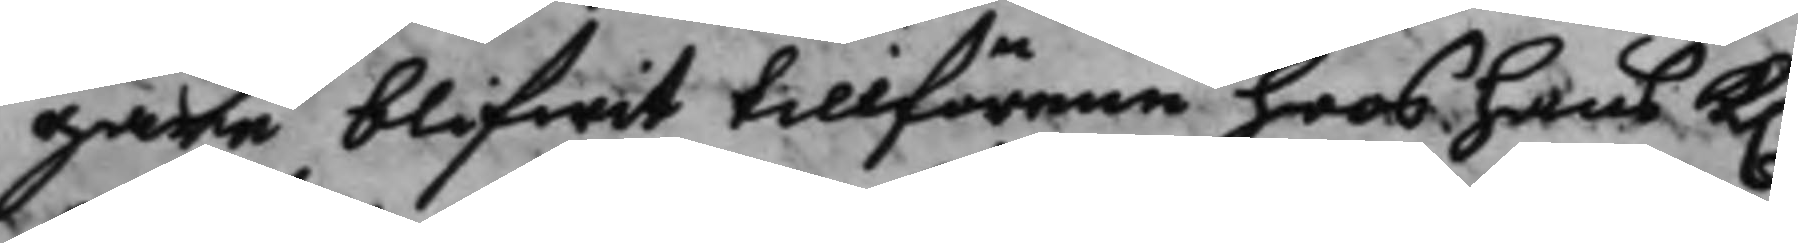gare blifwit tillförene hoos hans K.
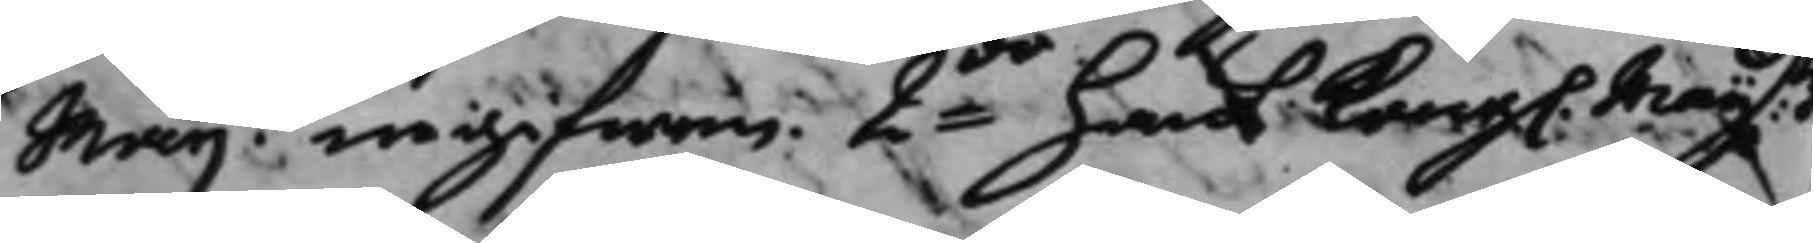Maijt ingifwen 2do hans Kong. Maijtz
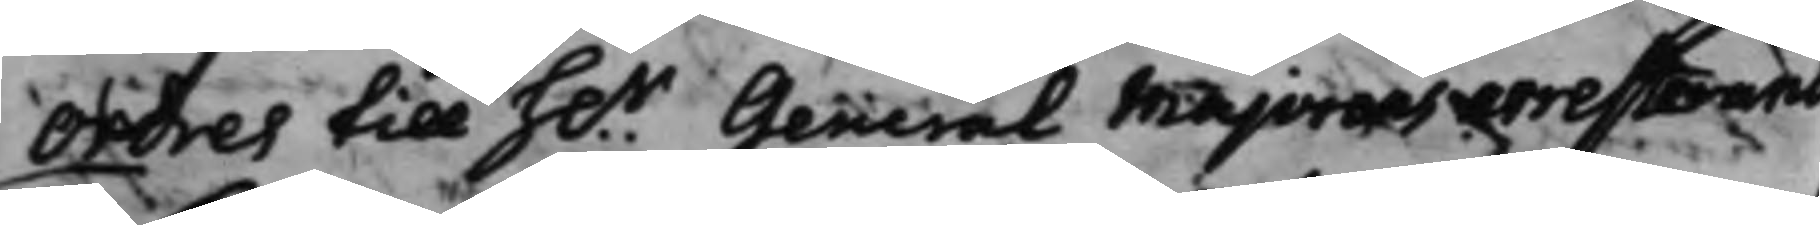Ordres till h.r General Majorens arresteran
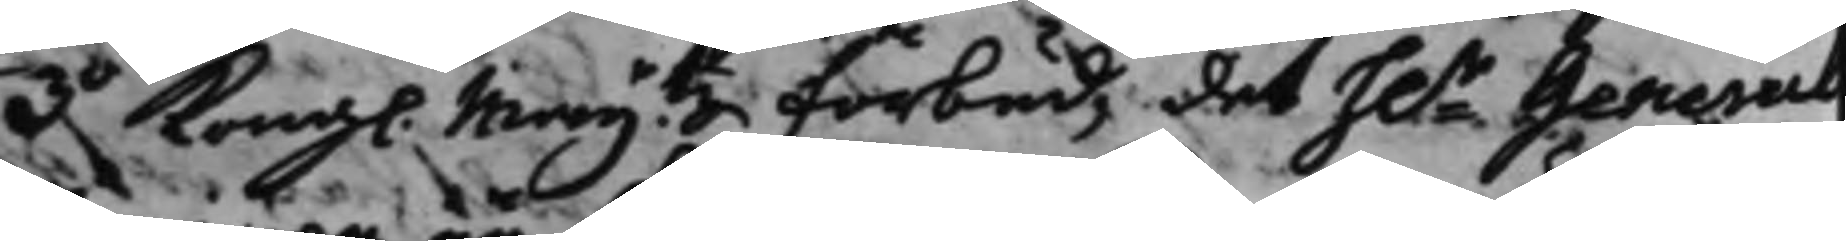3o Kong. Maij.tz förbud, det h.r General
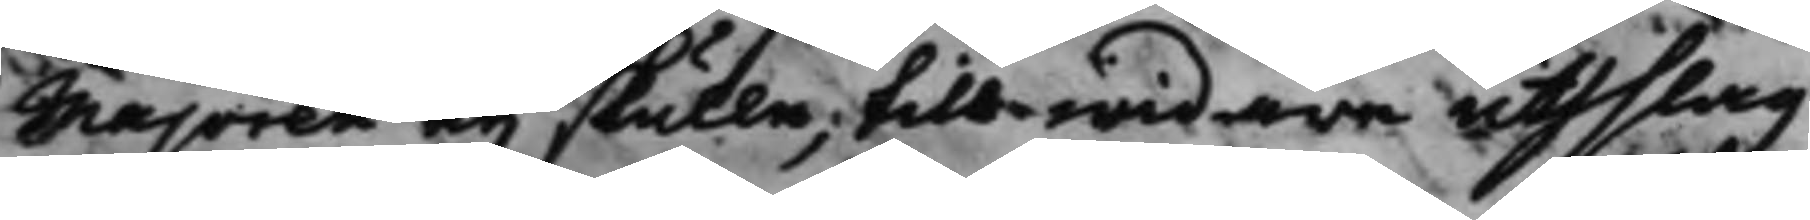Majoren eij skulle, tils widare uthslag i
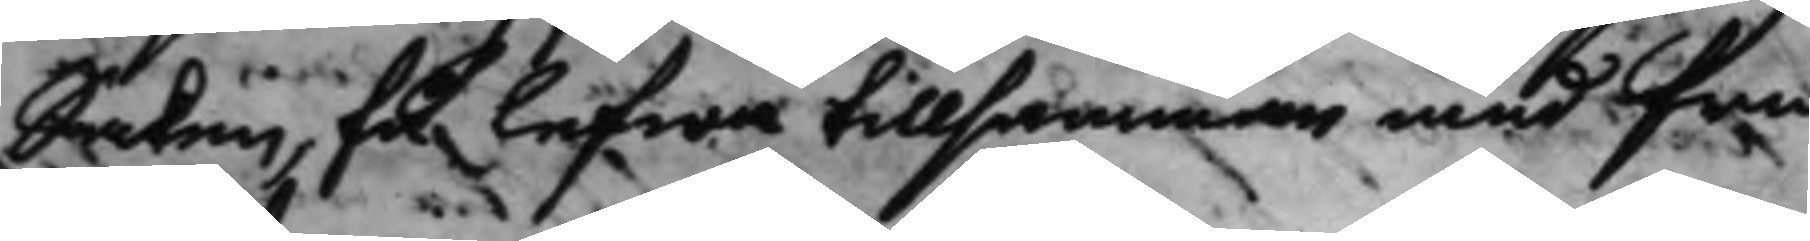Saken, få lefwa tillsamman med fru
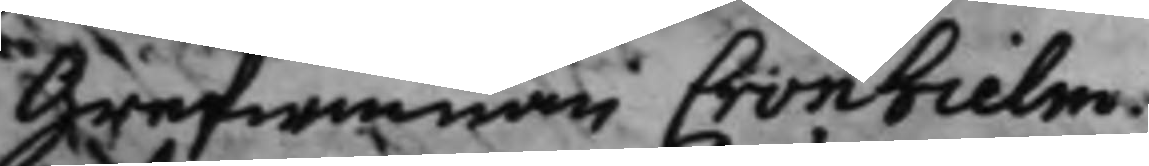Grefwinnan Cronhielm.
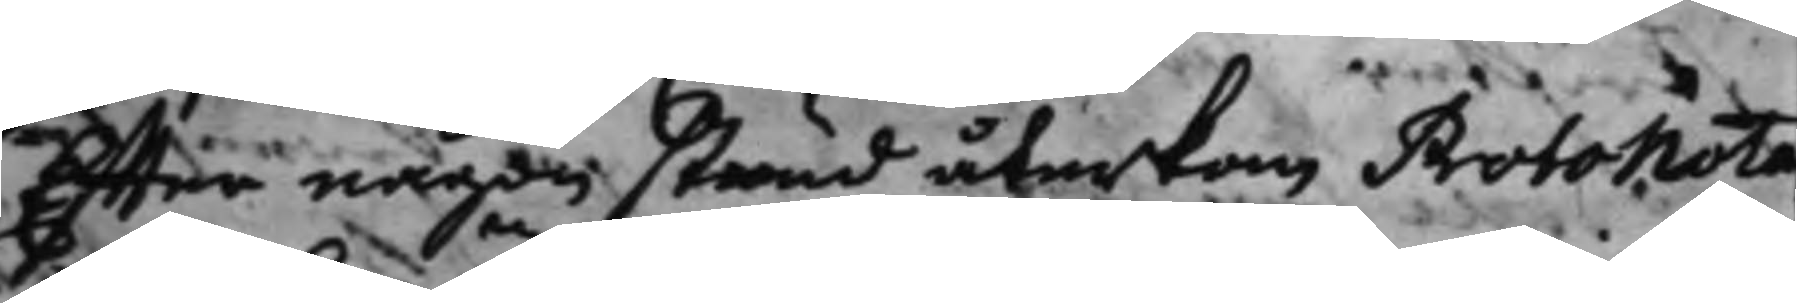Effter någon stund återkom Protonota¬
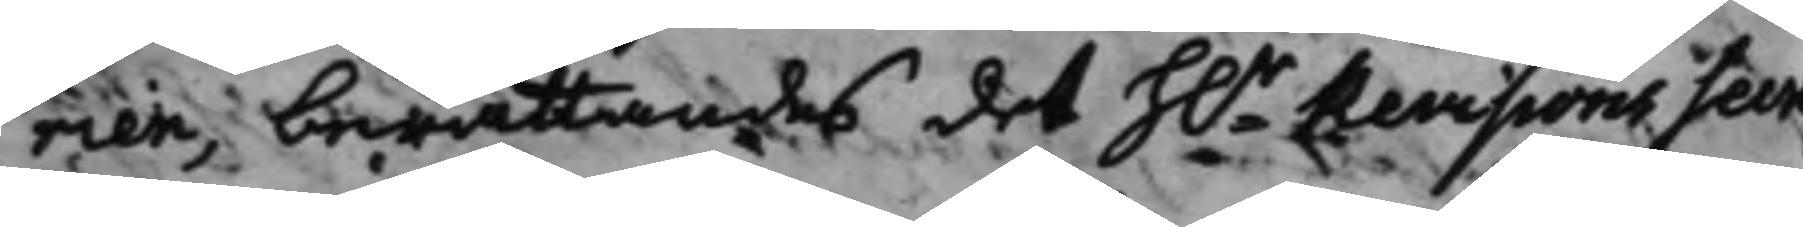rien, berättandes det h.r revisions Secre¬
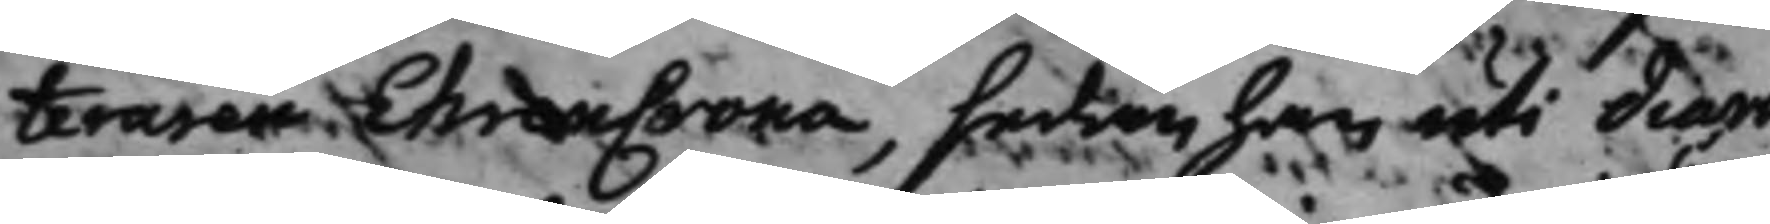teraren EhrenCrona, sedan han uti diari
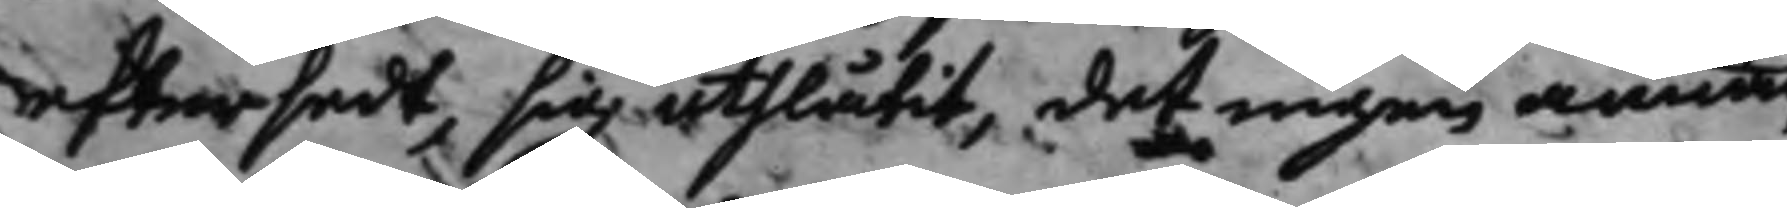eftersedt, sig uthlåtit, det ingen annan
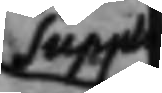Suppl
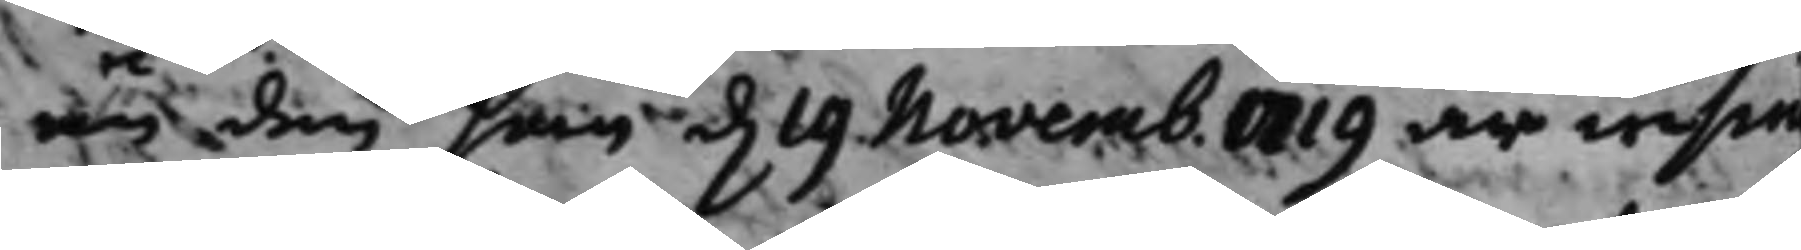än den som d. 19 Novemb. 1719 är insin¬
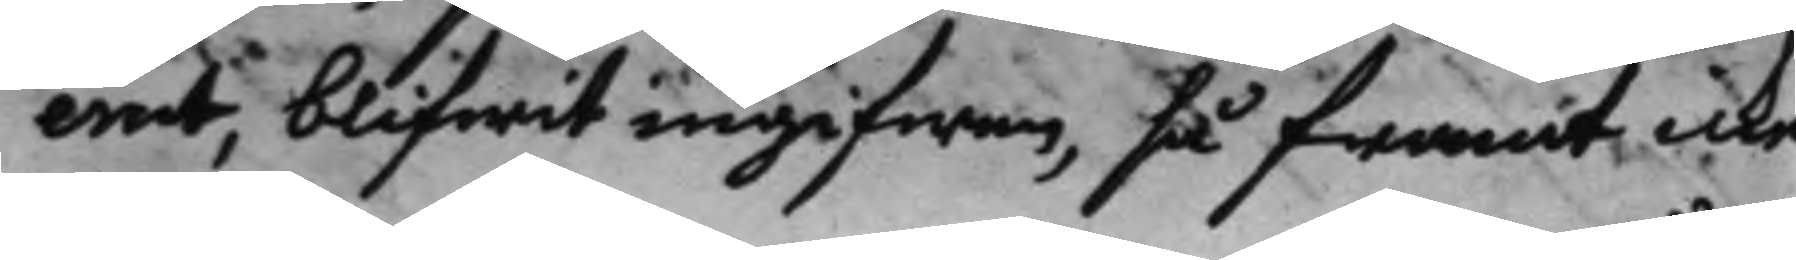erat, blifwit ingifwen, så framt icke
